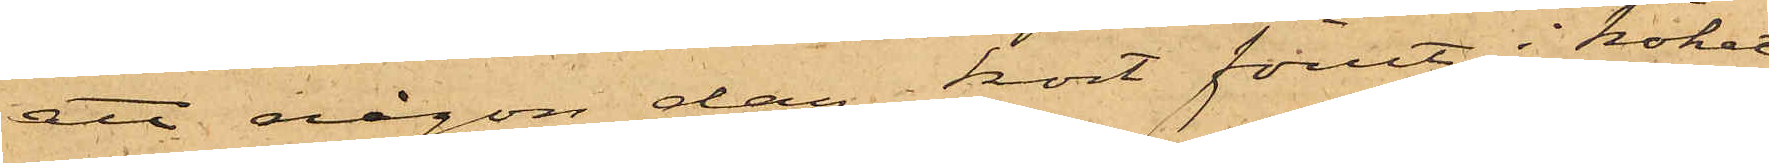att någon dag kort förut i köket
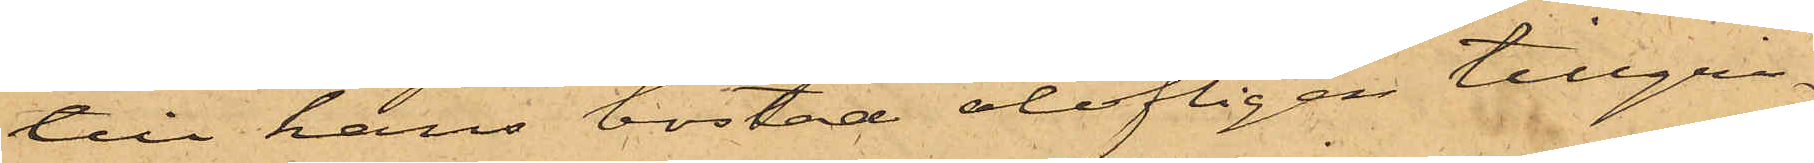till hans bostad olofligen tillgri¬
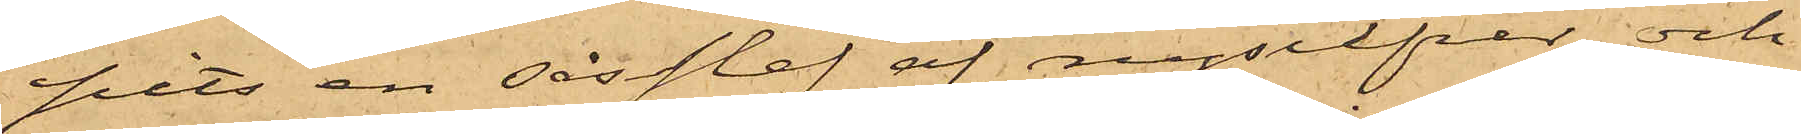pits en såsslef af nysilfver och
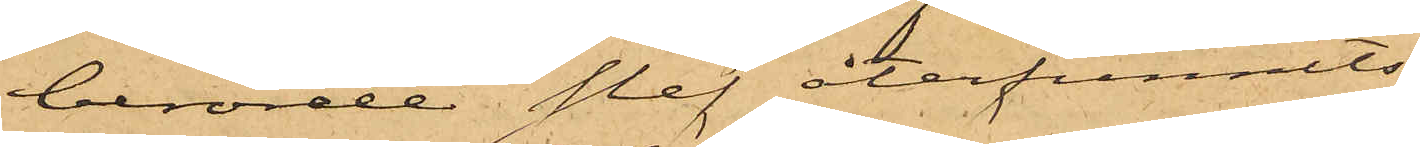berörde slef återfunnits
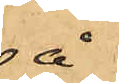å
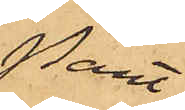Pant¬
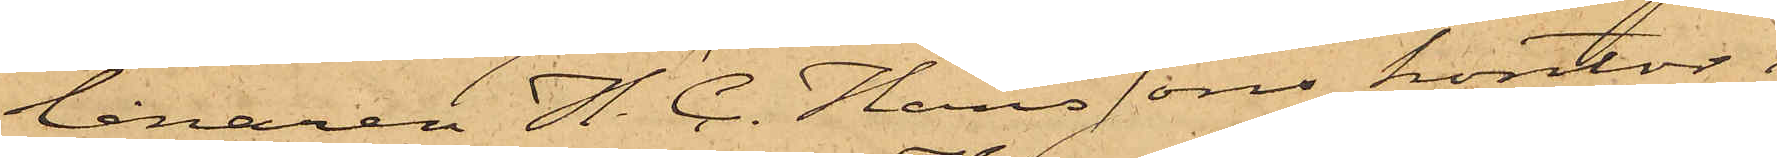lånaren H. C. Hanssons kontor i
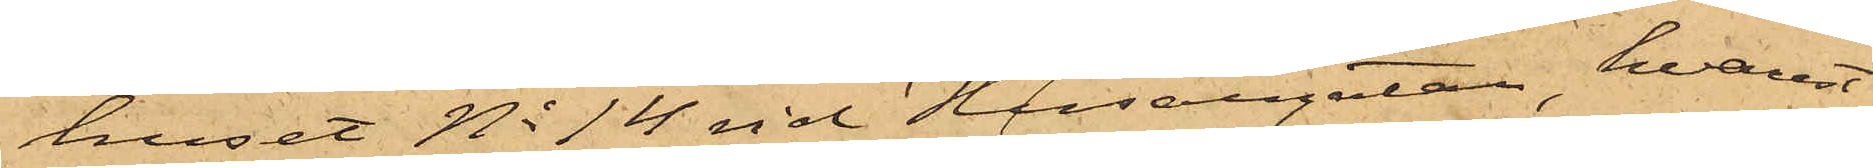huset No 14 vid Husargatan, hvarest
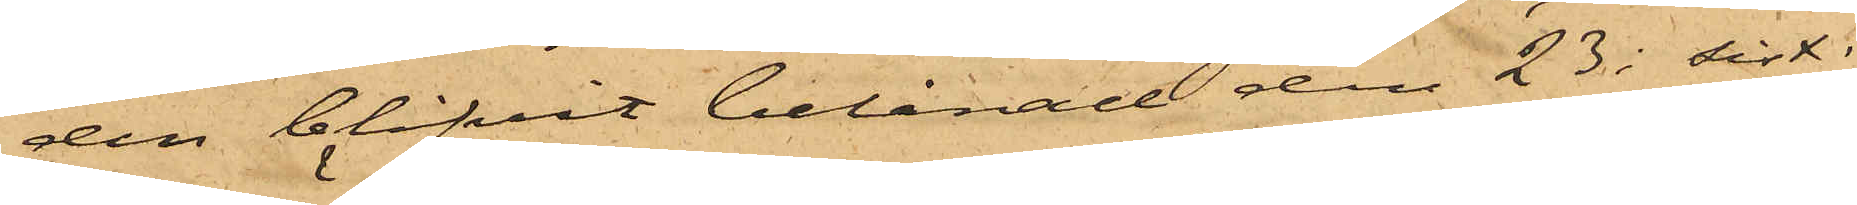den blifvit belånad den 23 i sist.
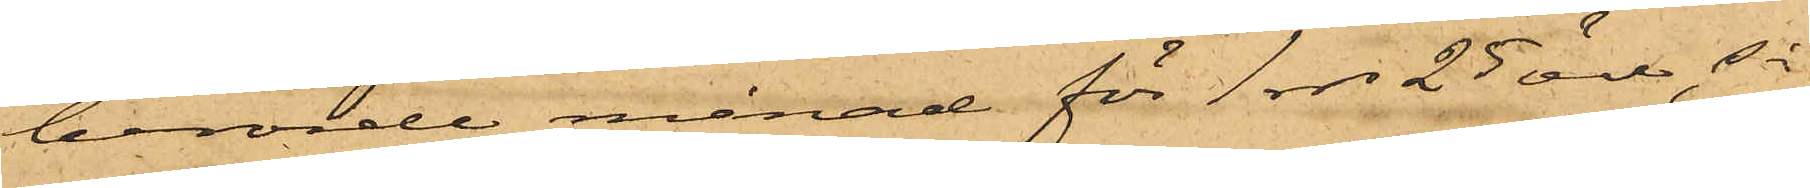berörde månad för 1 rdr 25 öre, så
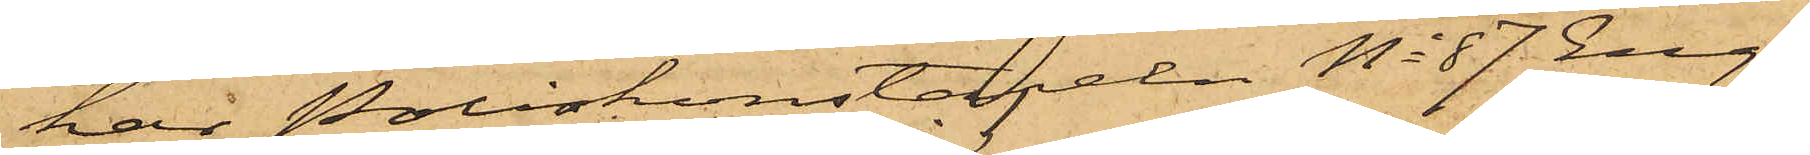har Poliskonstapeln No 87 Eng¬
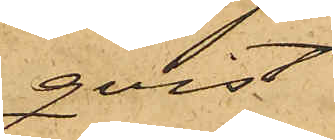qvist
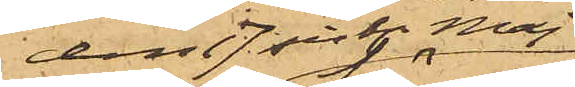den 17 sist. Maj
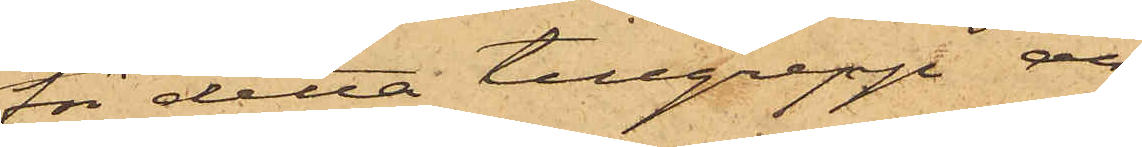för detta tillgrepp an¬
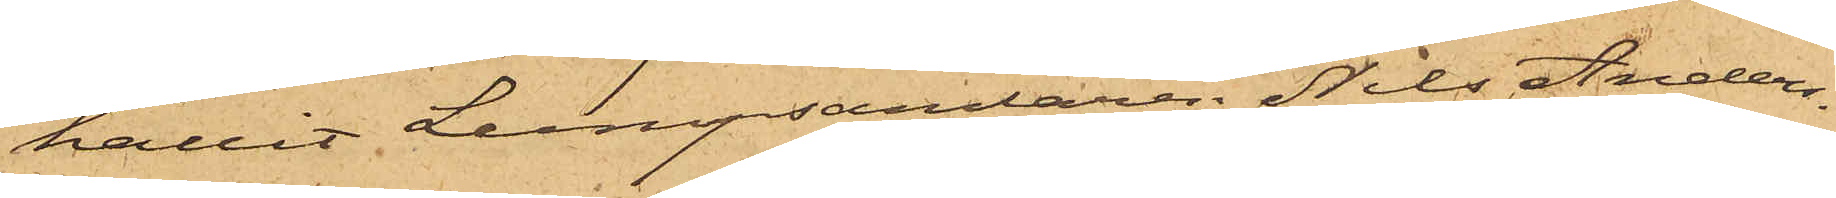hållit Lumpsamlaren Nils Anders¬
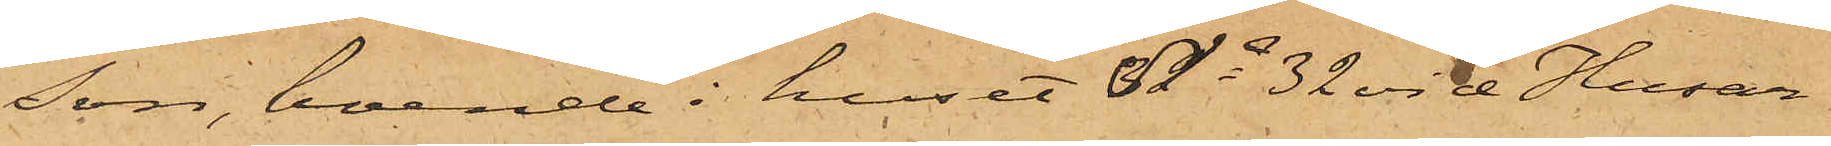son, boende i huset No 32 vid Husar¬
